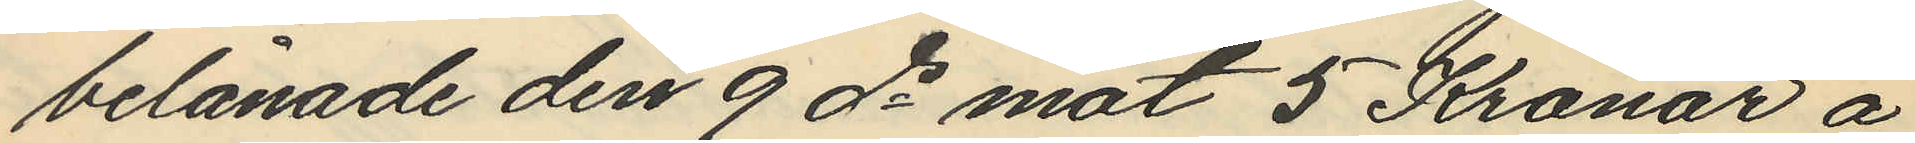belånade den 9 ds mot 5 Kronor å
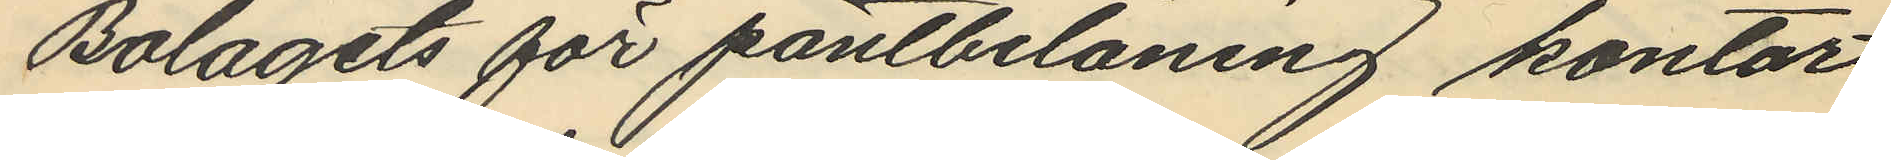Bolagets för pantbelåning kontor
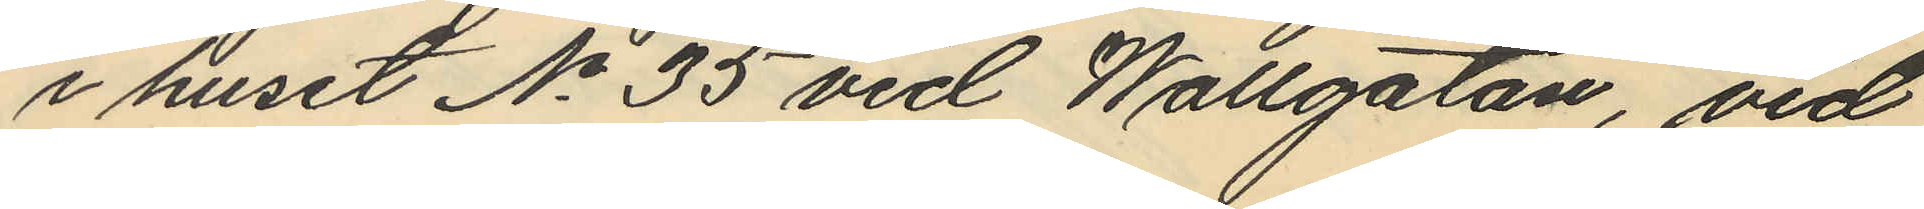i huset No 35 vid Wallgatan, vid
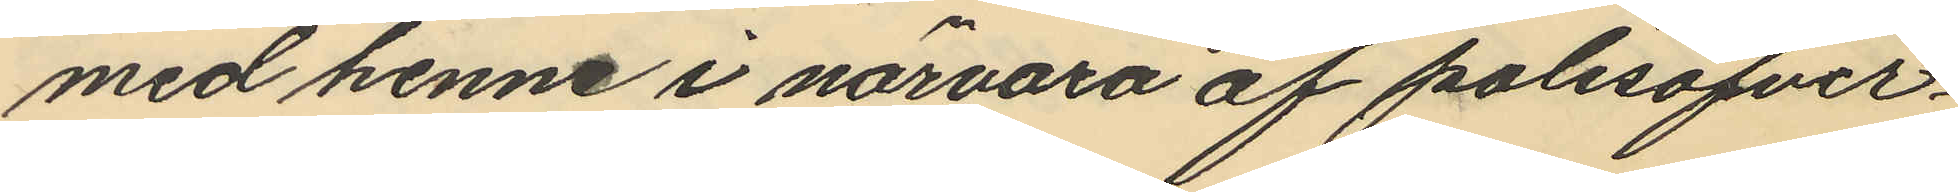med henne i närvaro af polisöfver¬
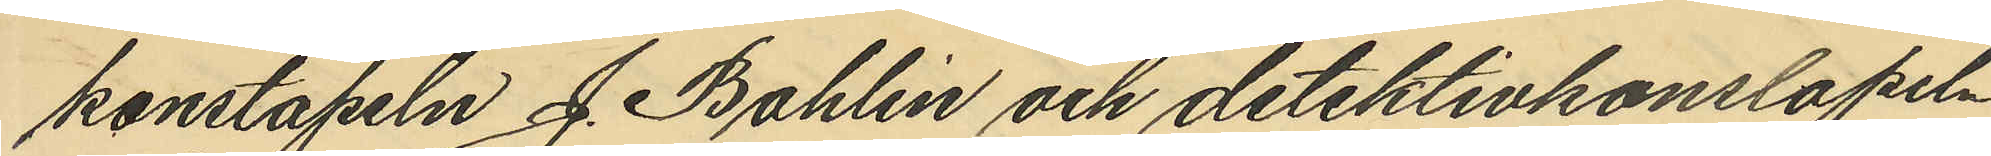konstapeln J. Bohlin och detektivkonstapeln
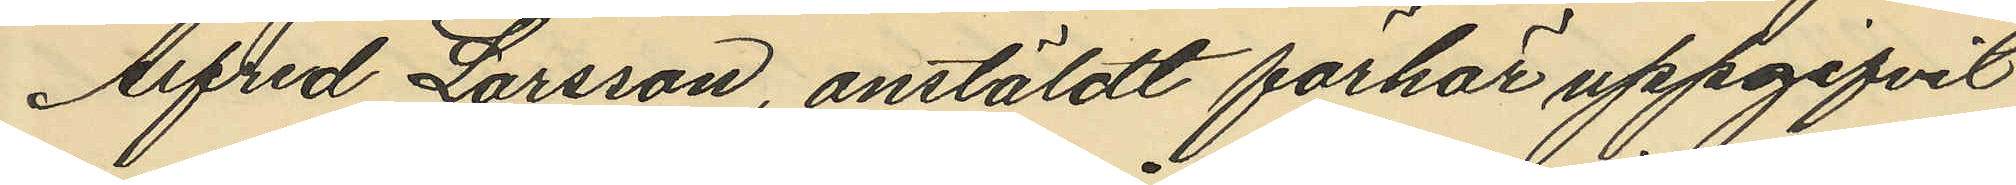Alfred Larsson, anstäldt förhör uppgifvit
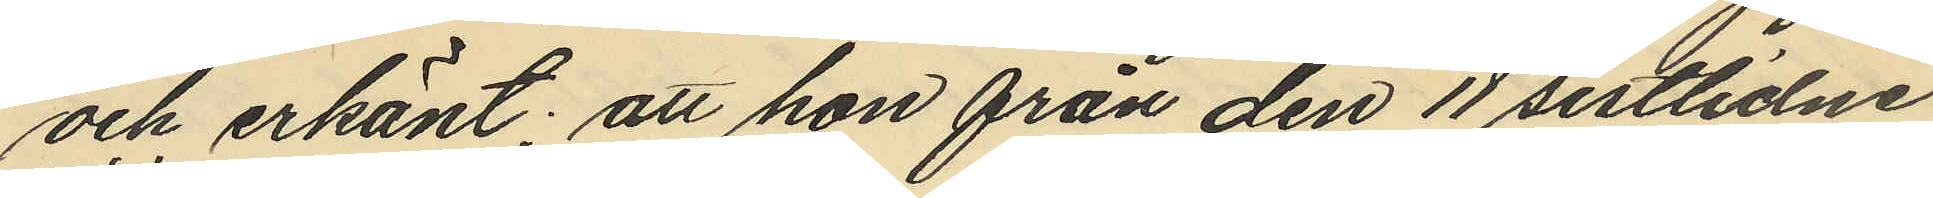och erkänt; att hon från den 11 sistlidne
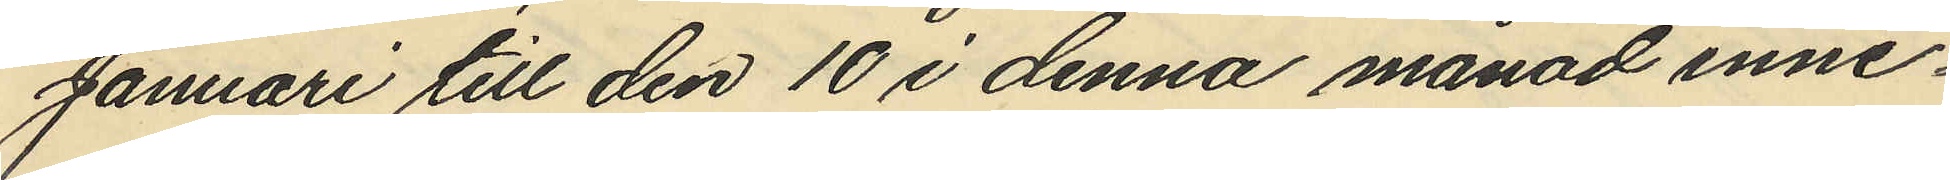Januari till den 10 i denna månad inne¬
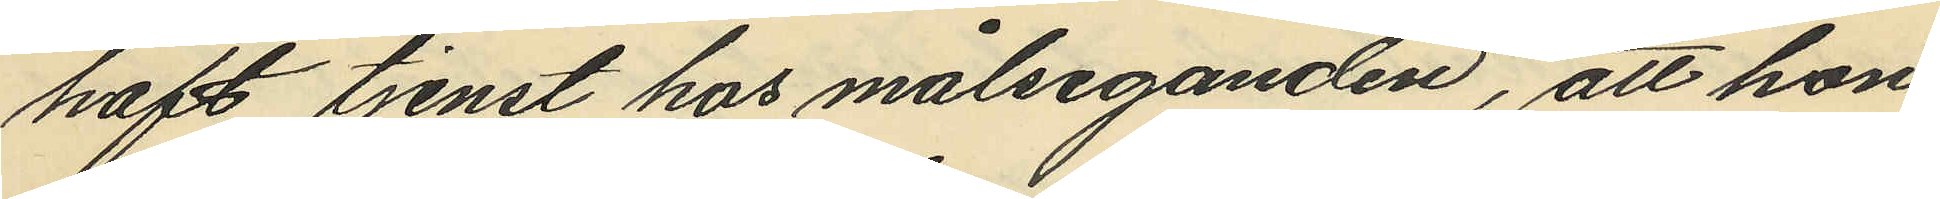haft tjenst hos målseganden, att hon
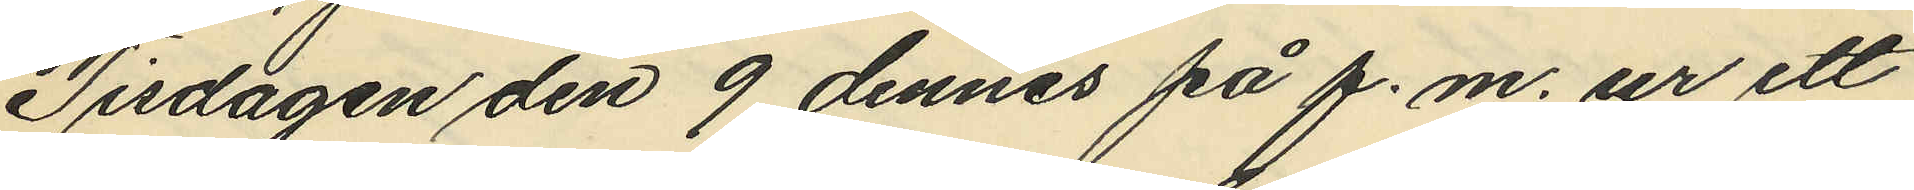Tisdagen den 9 dennes på f.m. ur ett
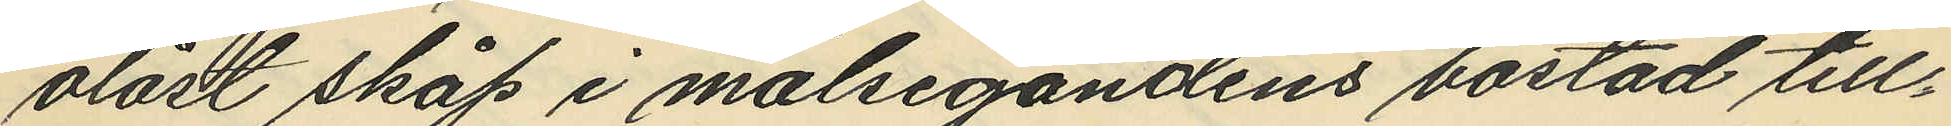olåst skåp i målsegandens bostad till¬
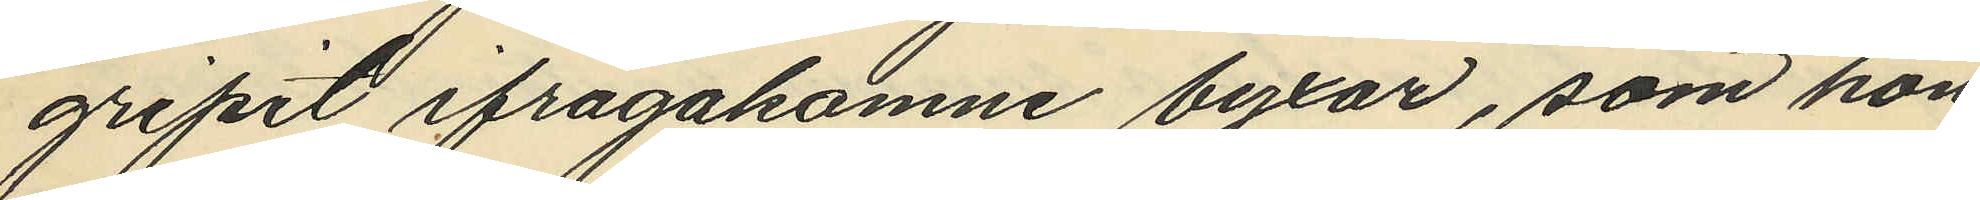gripit ifrågakomne byxor, som hon
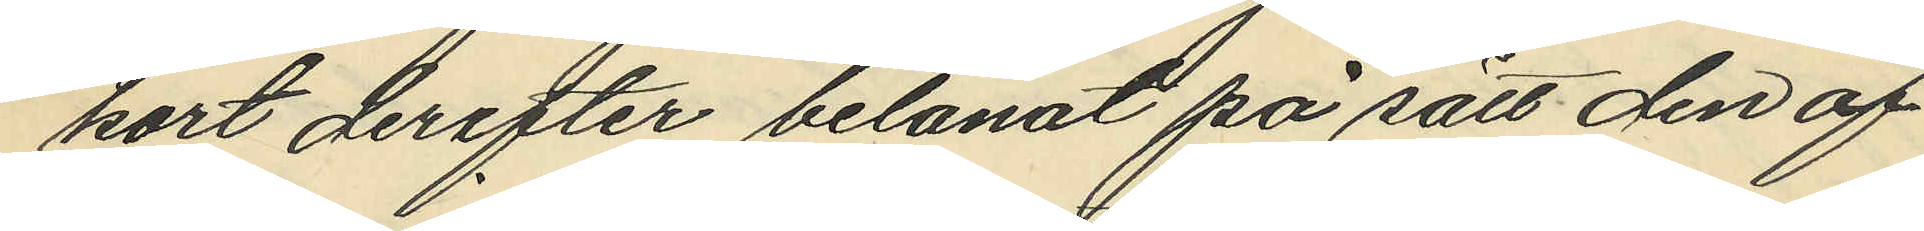kort derefter belånat på sätt den af
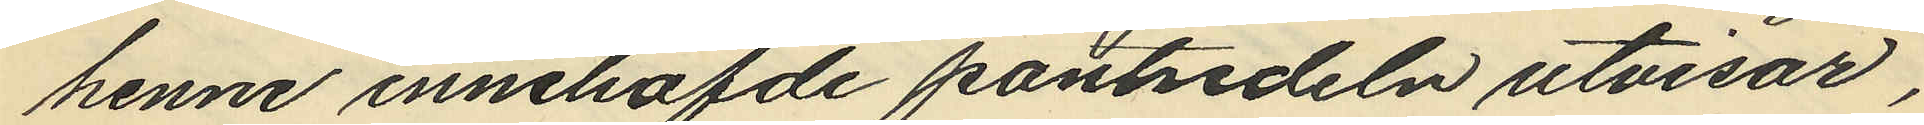henne innehafde pantsedeln utvisar,
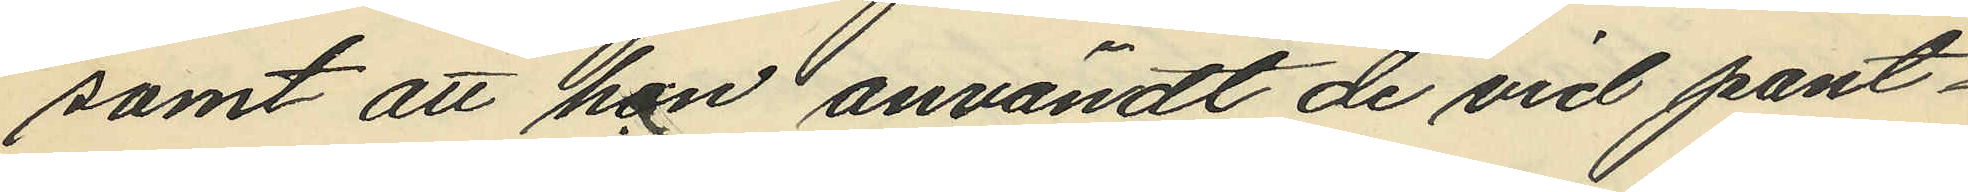samt att hon användt de vid pant¬
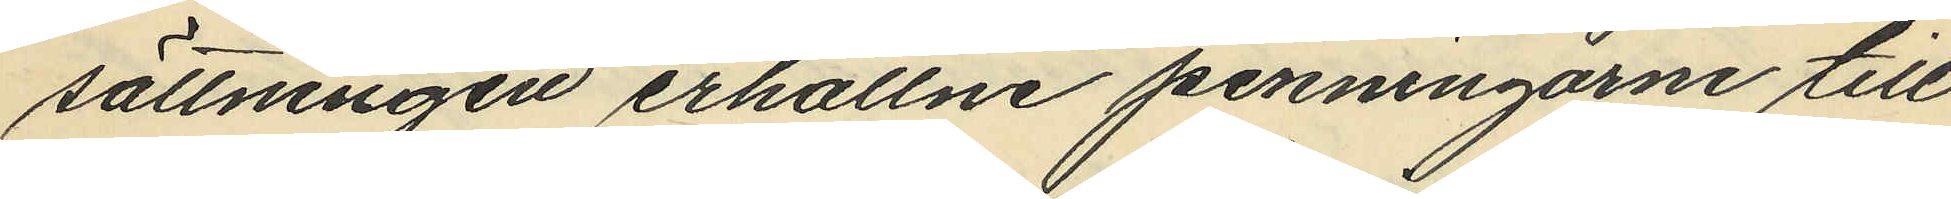sättningen erhållne penningarne till
